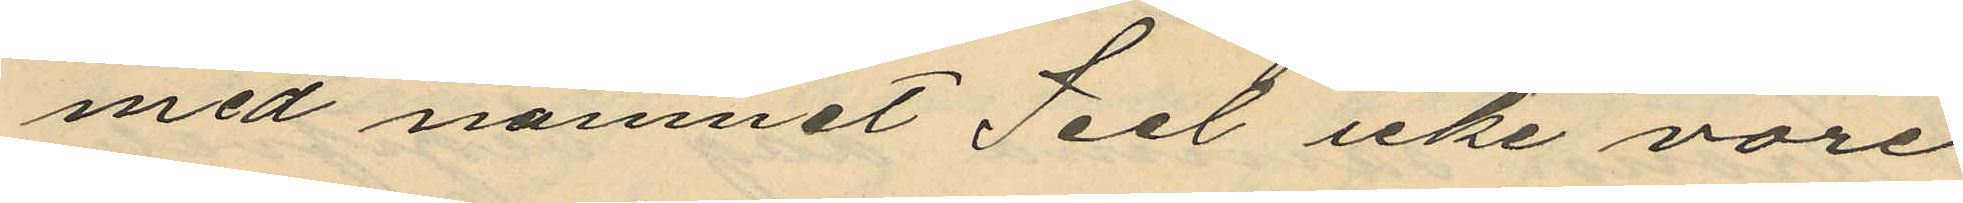med namnet Seel icke vore
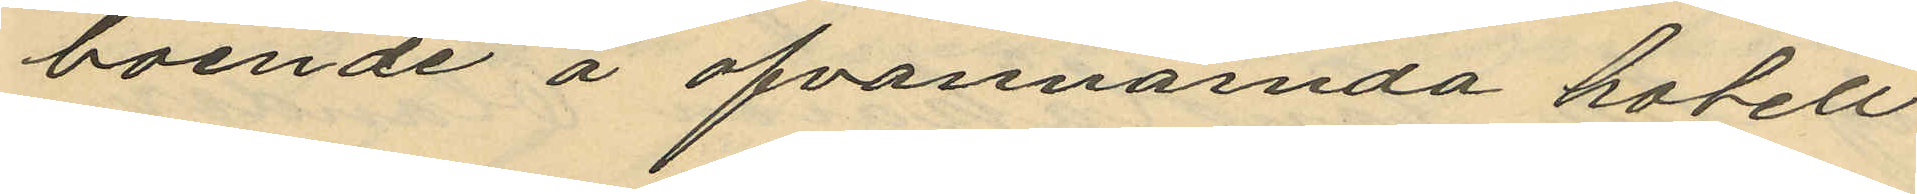boende å ofvannända hotell
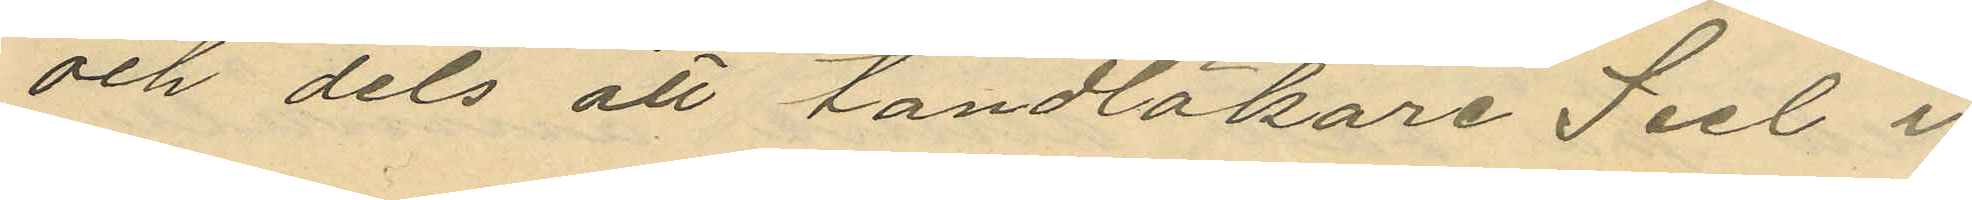och dels att tandläkare Seel i
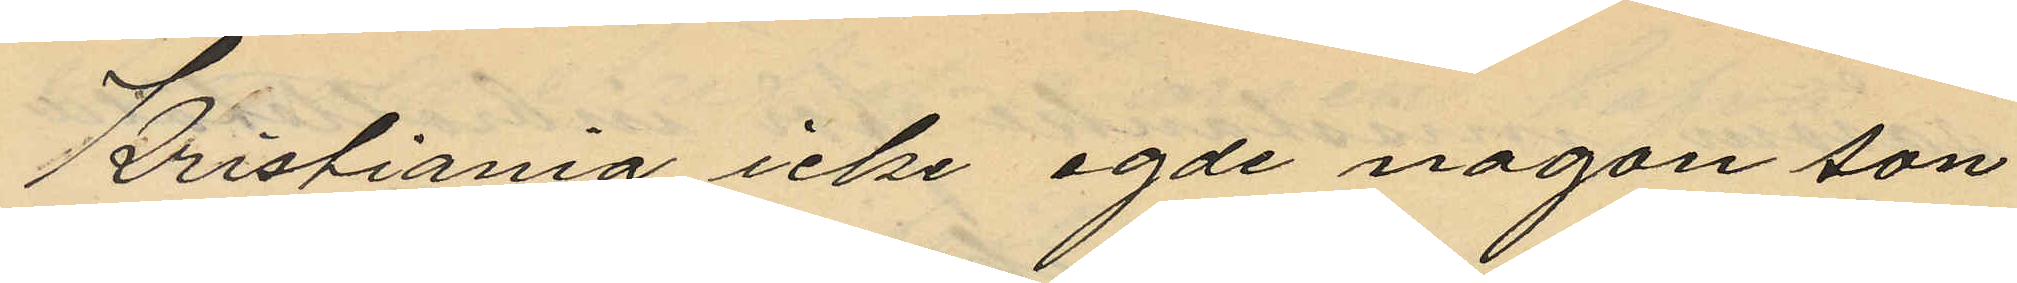Kristiania icke egde någon son
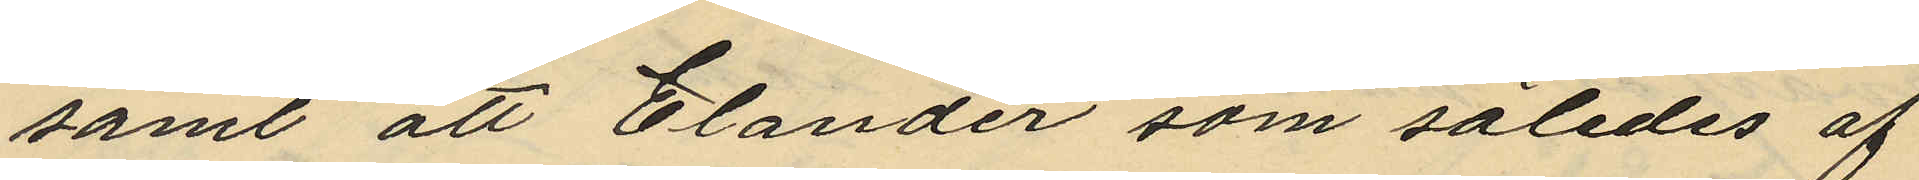samt att Elander som således af
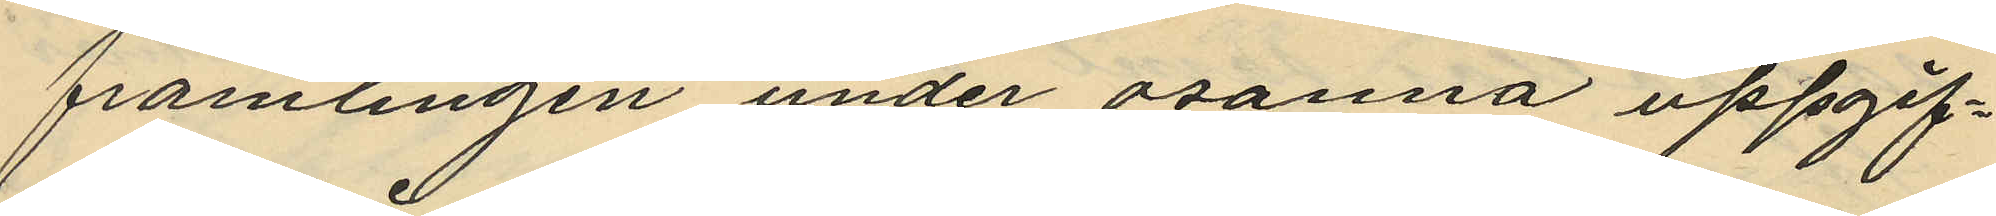främlingen under osanna uppgif¬
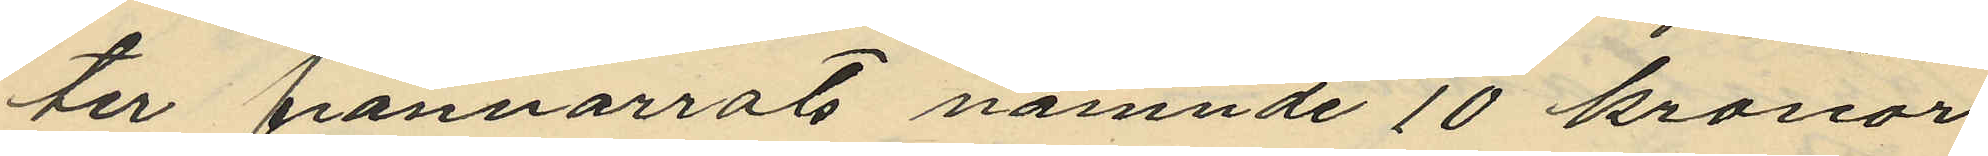ter frånnarrat nämnde 10 kronor
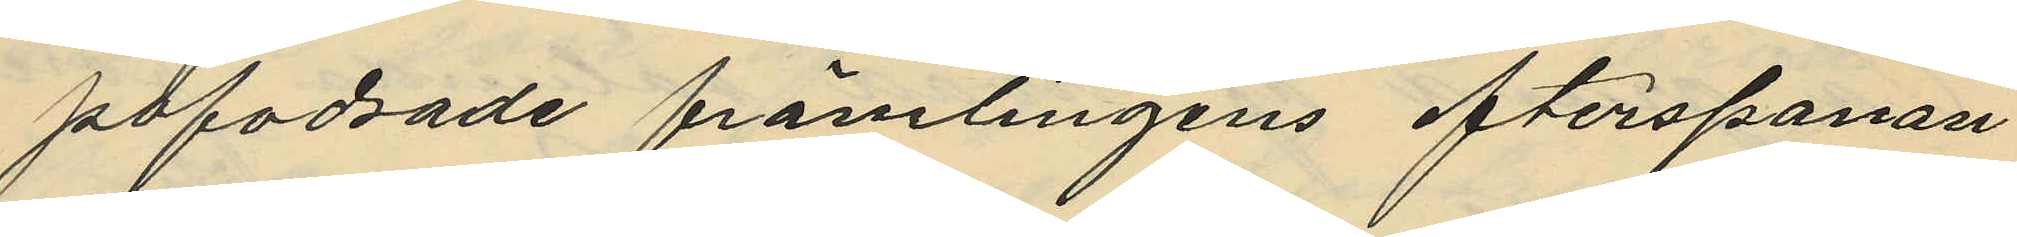påfodrade främlingens efterspanan
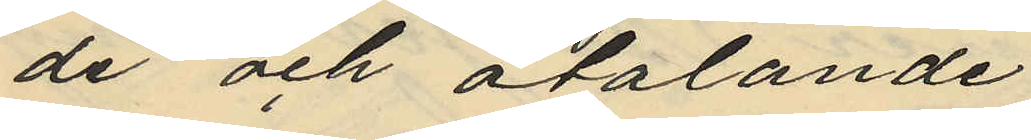de och åtalande.
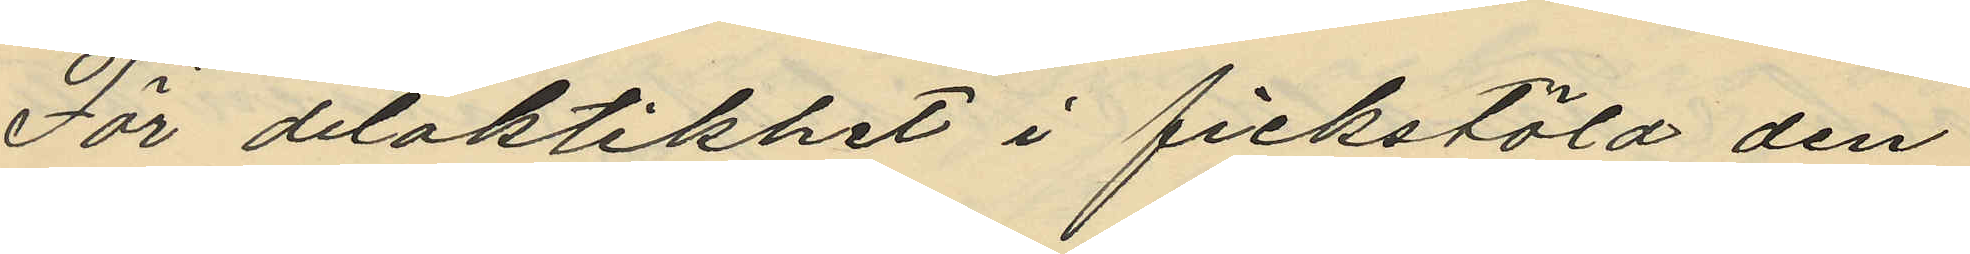För delaktikhet i fickstöld den
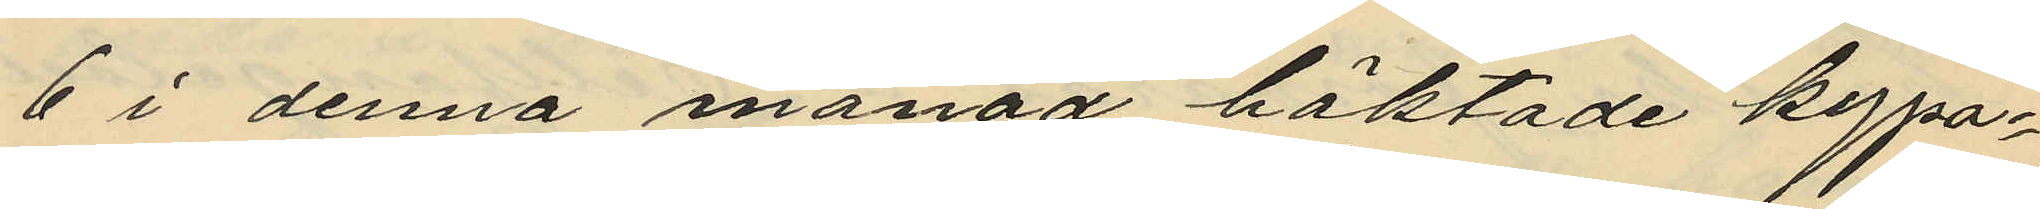6 i denna månad häktade kypa¬
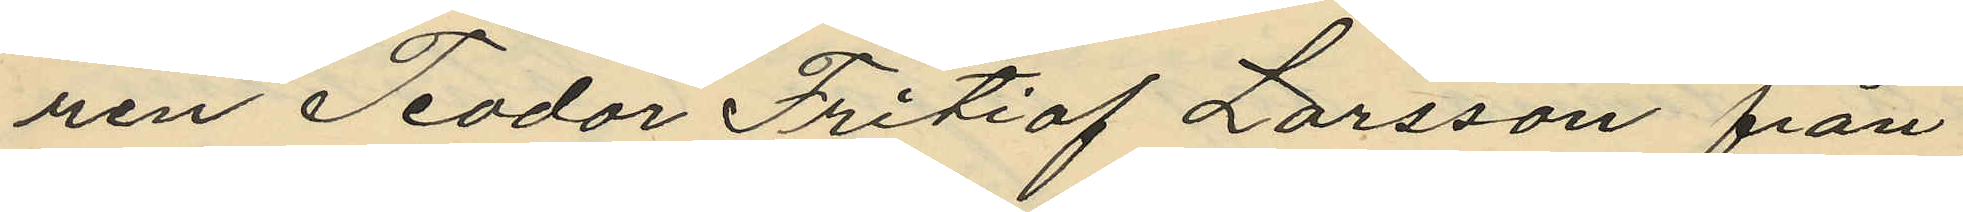ren Teodor Fritiof Larsson från
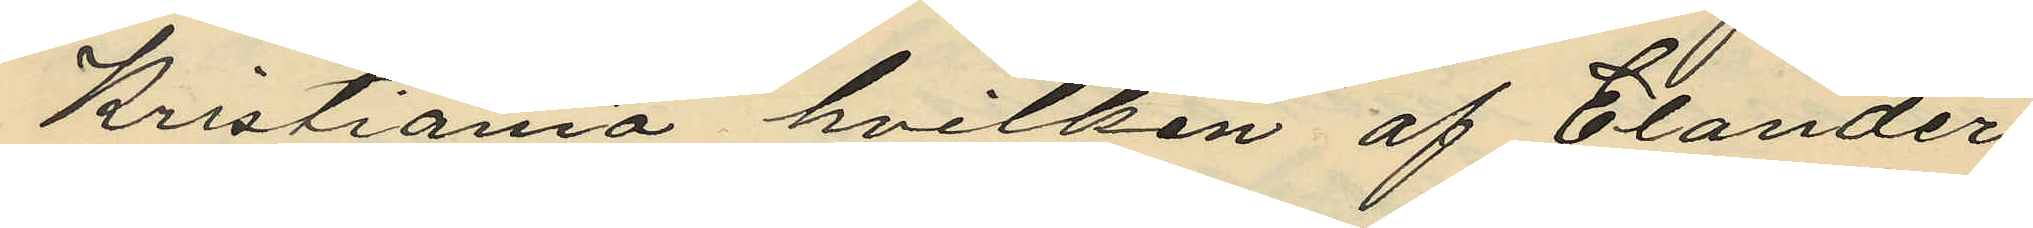Kristiania hvilken af Elander
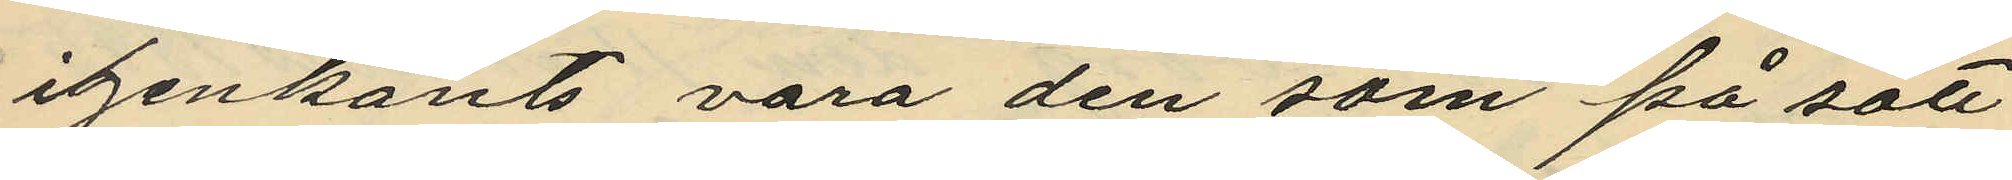igenkänts vara den som på sätt
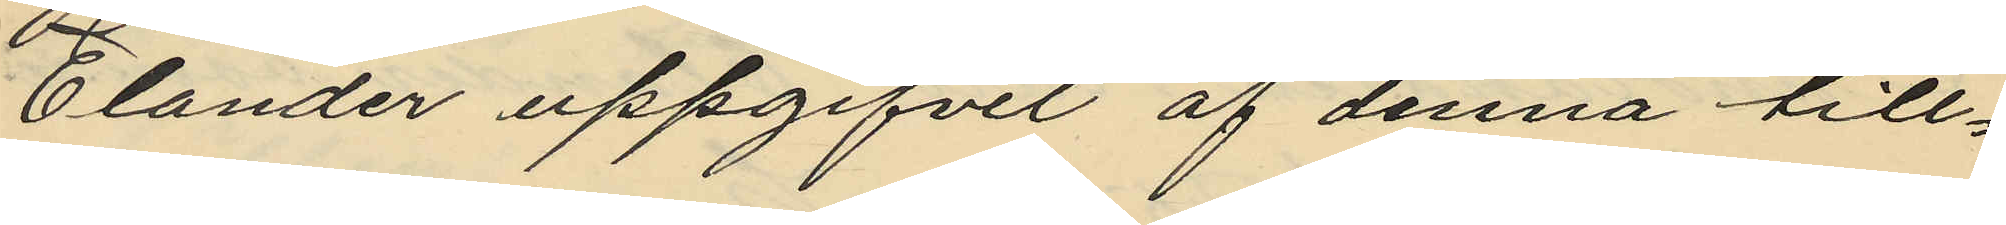Elander uppgifvit af denna till¬
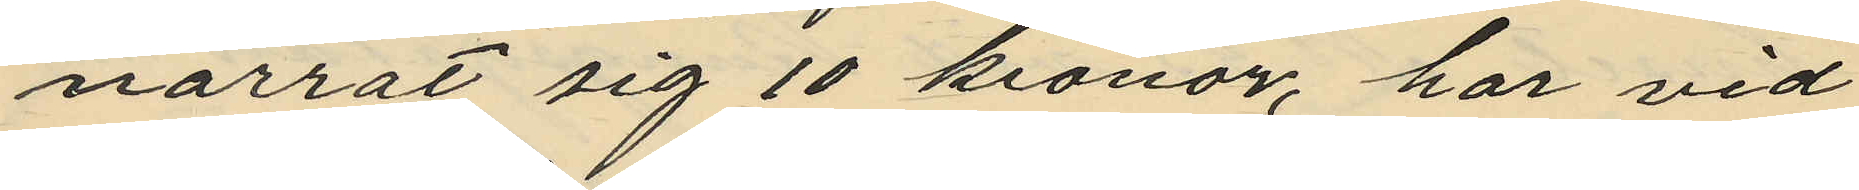narrat sig 10 kronor, har vid
